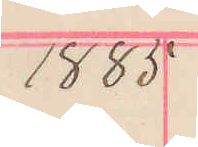1885
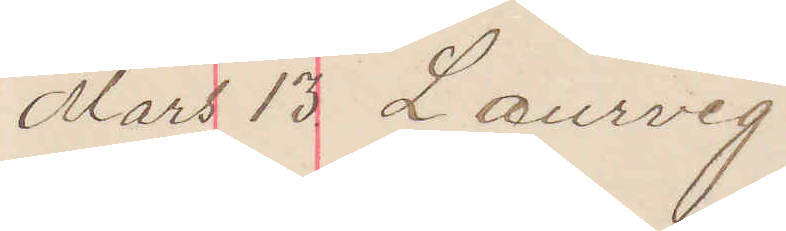Mars 13. Laurvig
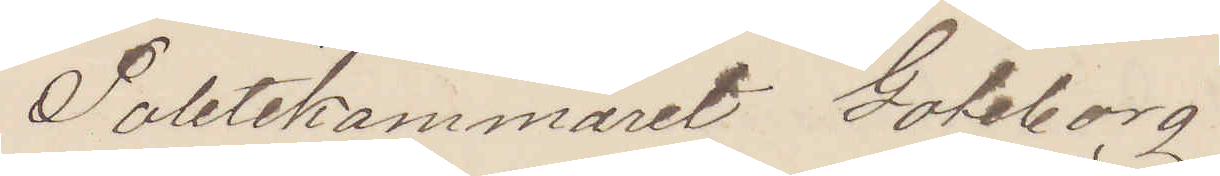Politikammeret Göteborg.
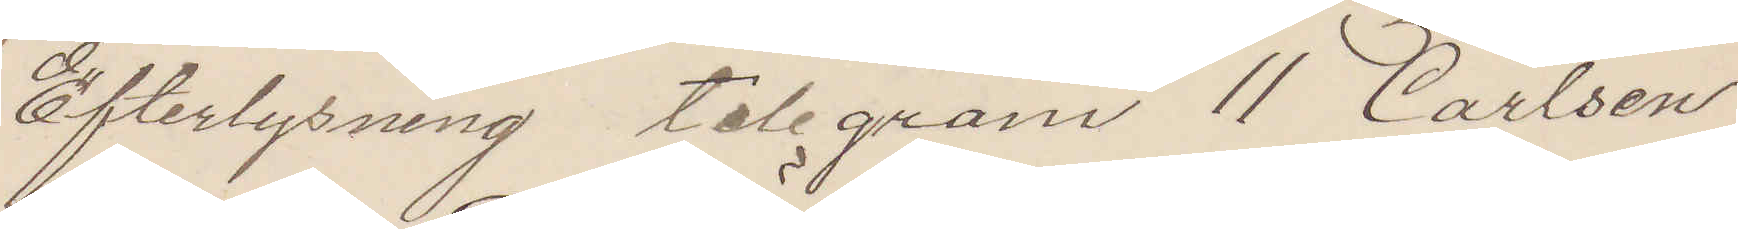Efterlysning telegram 11 Carlsen
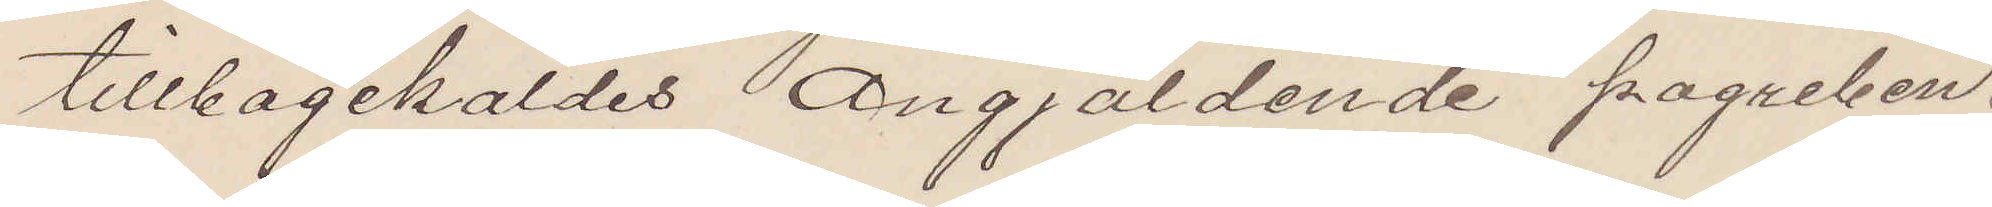tillbagekaldes Angjäldende pagreben.
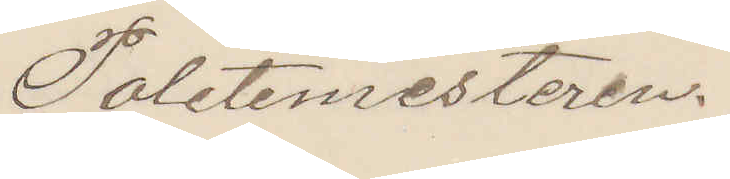Politimesteren.
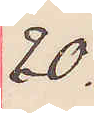20.
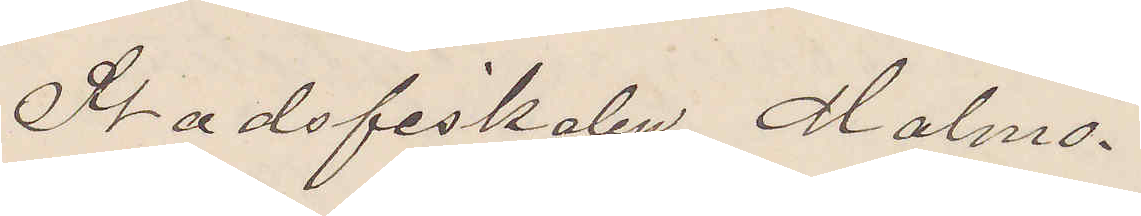Stadsfiskalen Malmö.
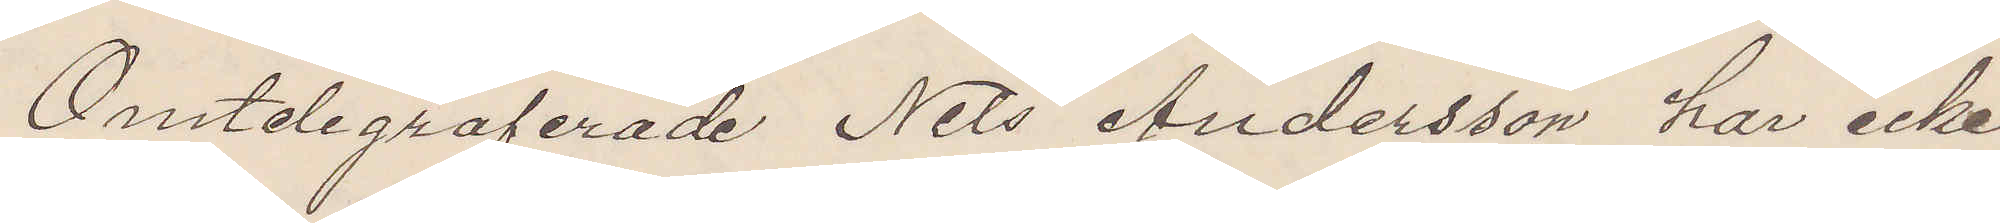Omtelegraferade Nils Andersson har icke
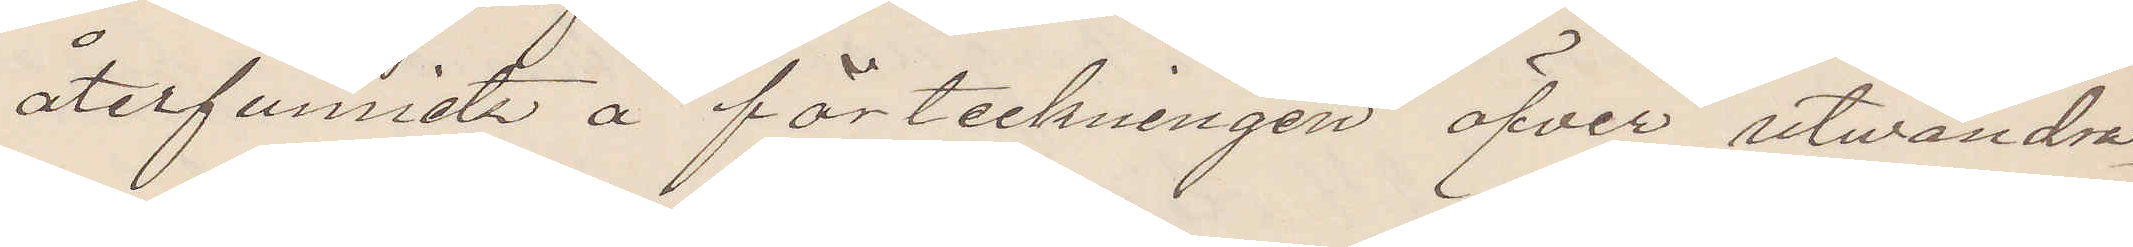återfunnits å förteckningen öfver utvandra¬
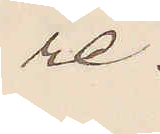re.
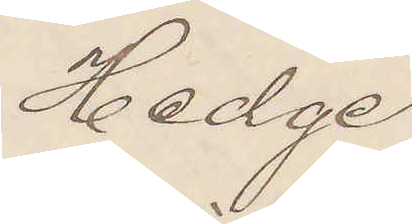Hedge
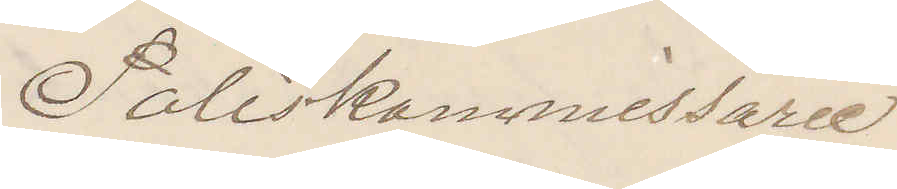Poliskommissarie
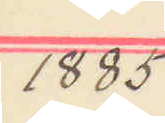1885
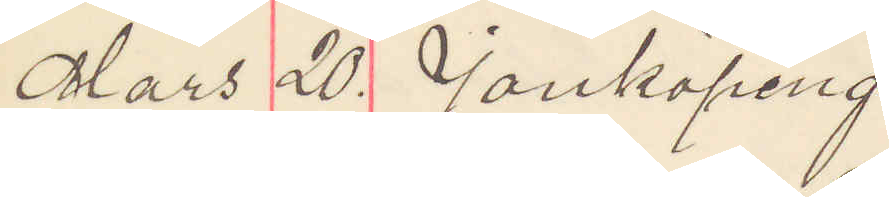Mars 20 Jönköping.
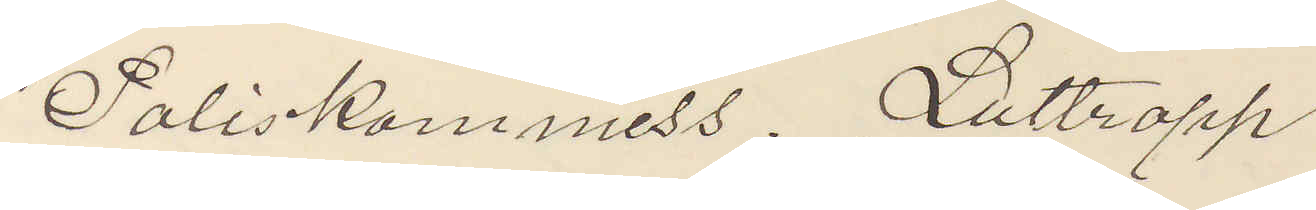Poliskommiss. Luttropp
